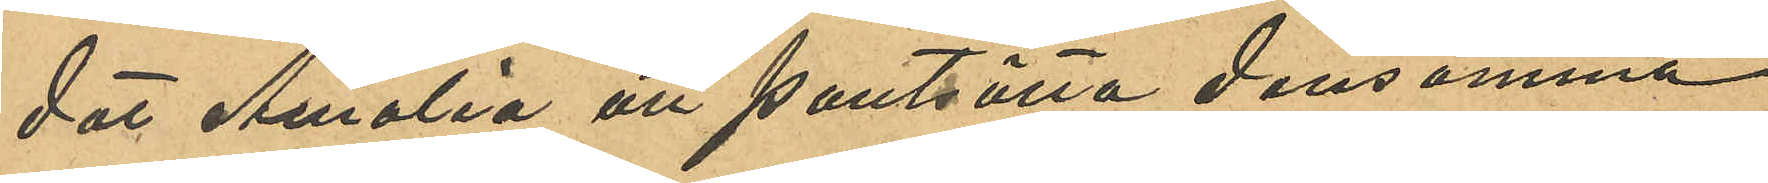dat Amalia att pantsätta densamma
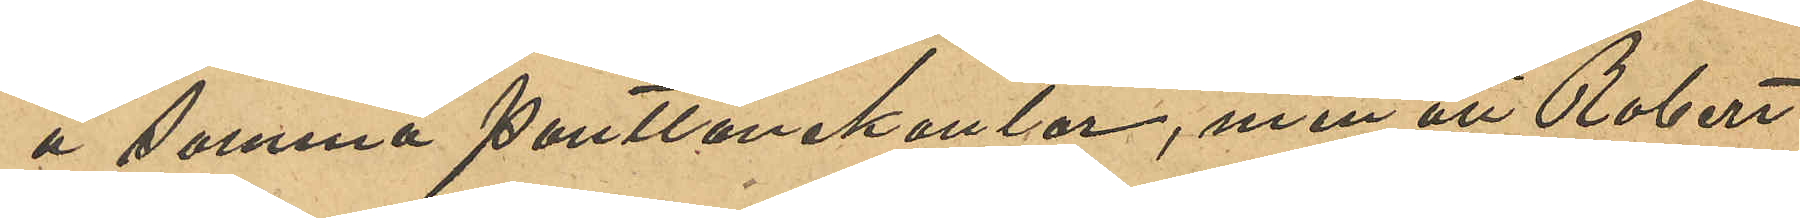å samma Pantlånekontor, men att Robert
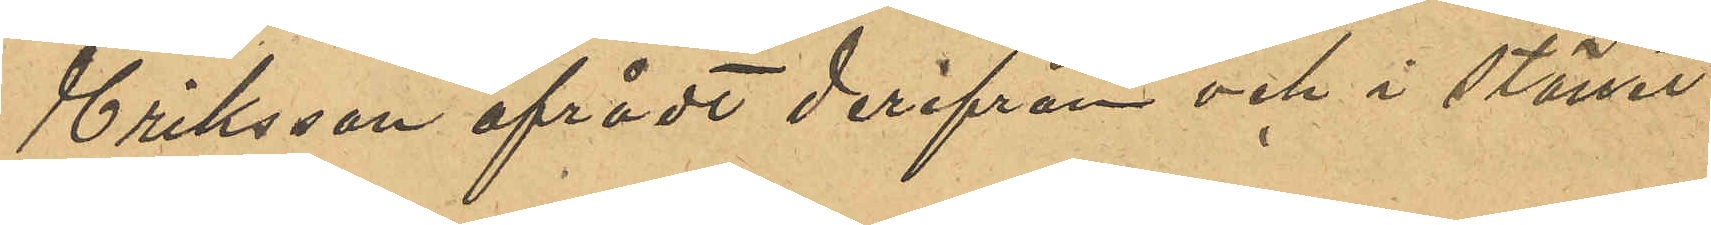Eriksson afrådt derifrån och i stället
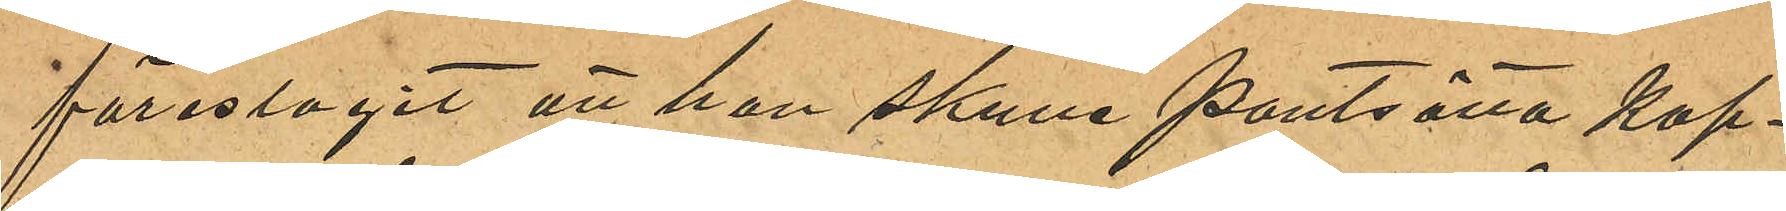föreslagit att hon skulle pantsätta kap¬
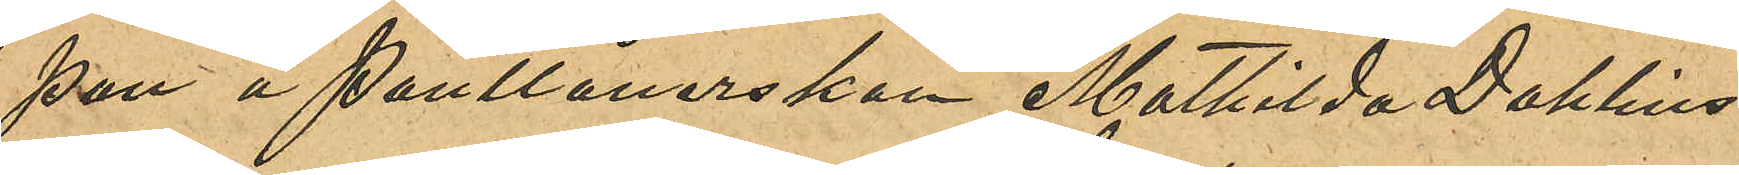pan å Pantlånerskan Mathilda Dahlins
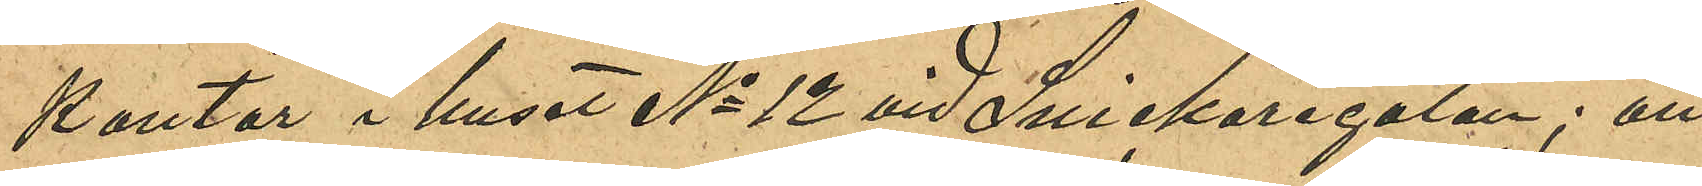kontor i huset No 12 vid Snickaregatan; att
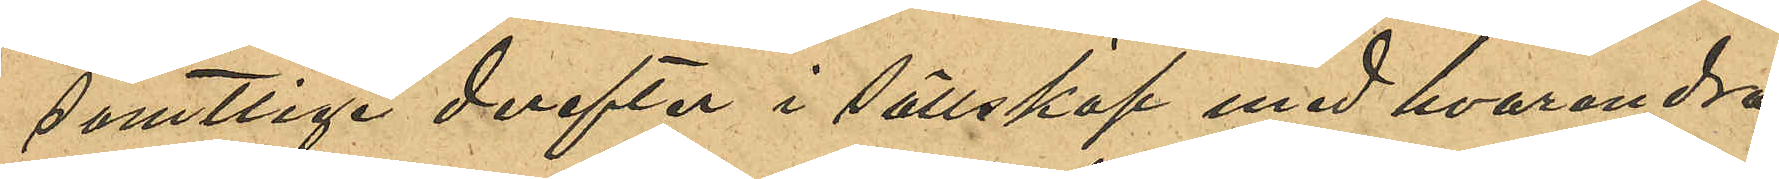samtlige derefter i sällskap med hvarandra
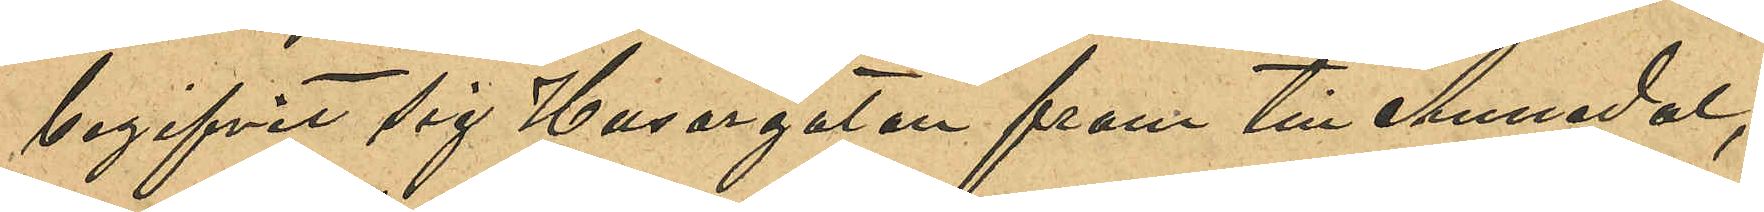begifvit sig Husargatan fram till Annedal;
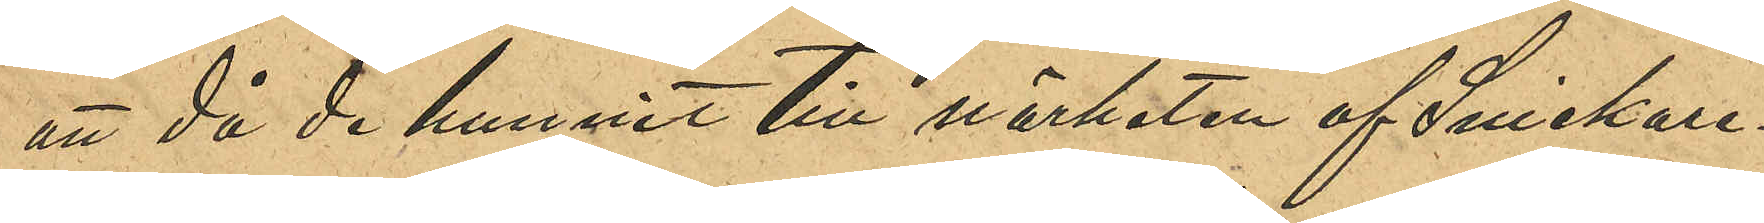att då de hunnit till närheten af Snickare¬
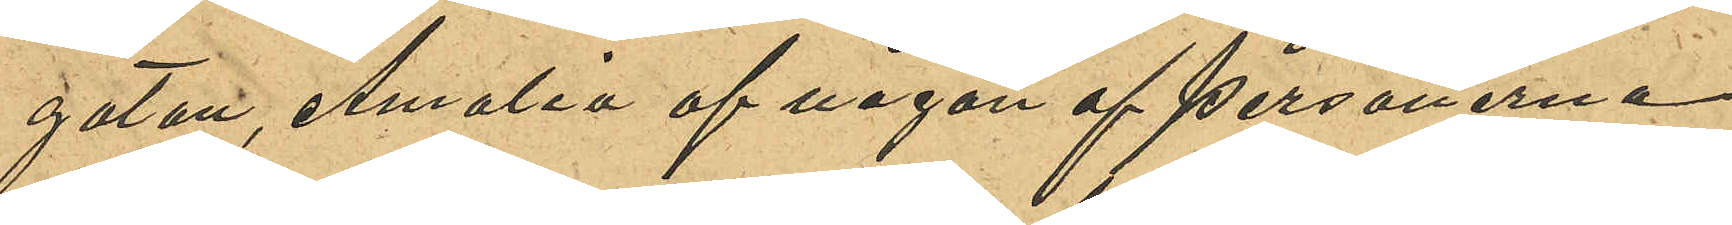gatan, Amalia af någon af personerna
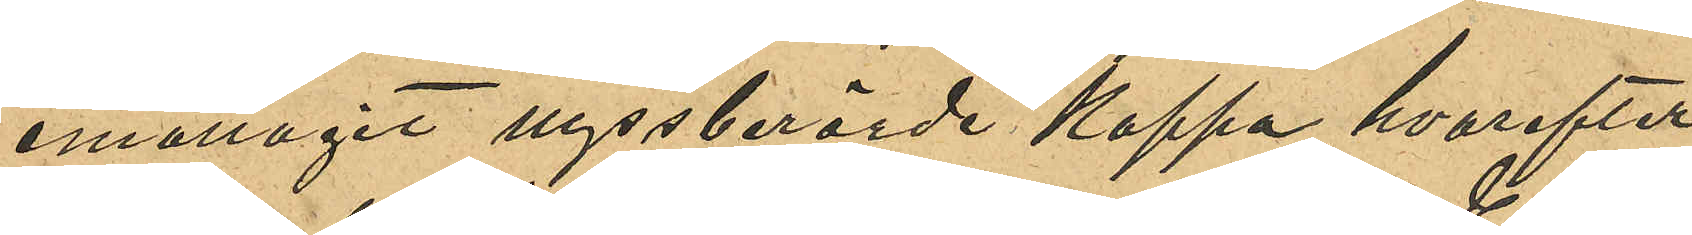emottagit nyssberörde kappa hvarefter
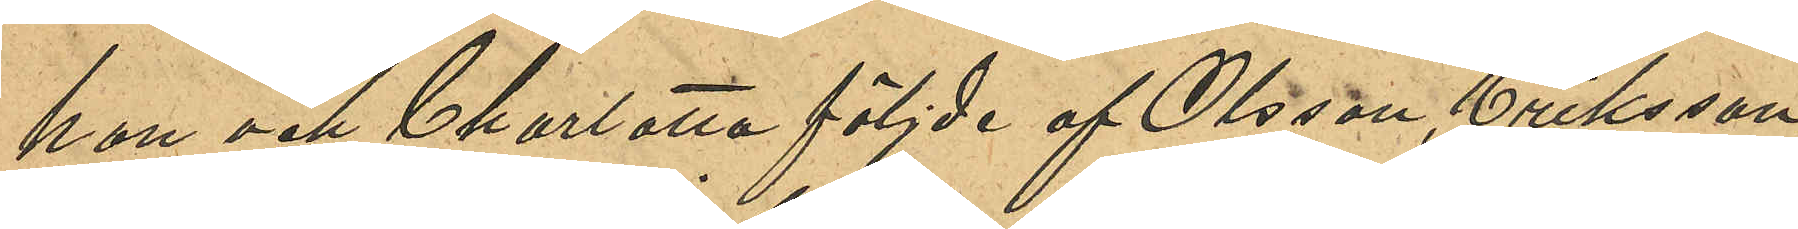hon och Charlotta följde af Olsson, Eriksson,
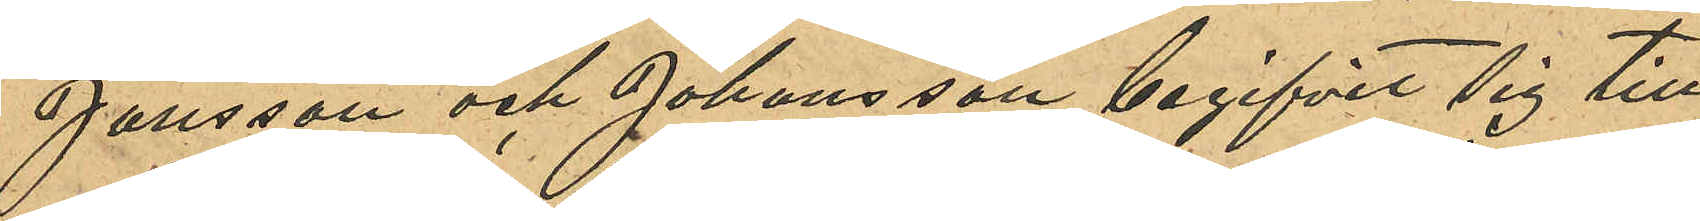Jansson och Johansson begifvit sig till
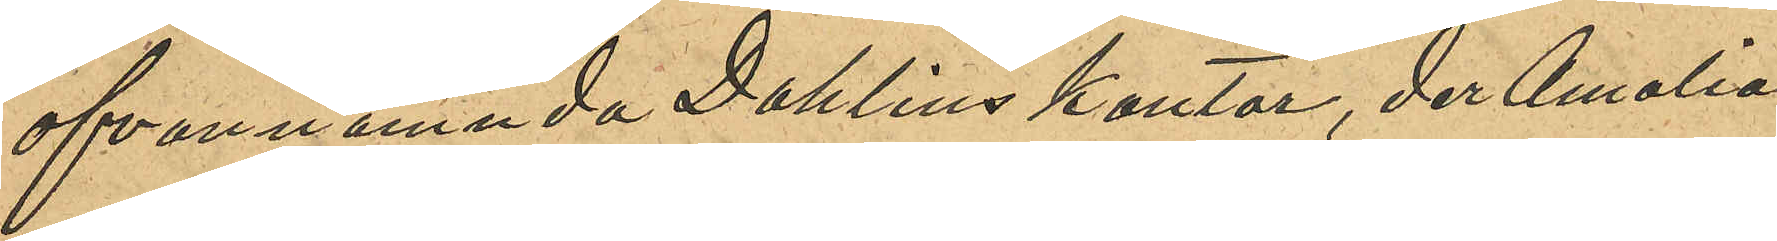ofvannämnda Dahlins kontor, der Amalia
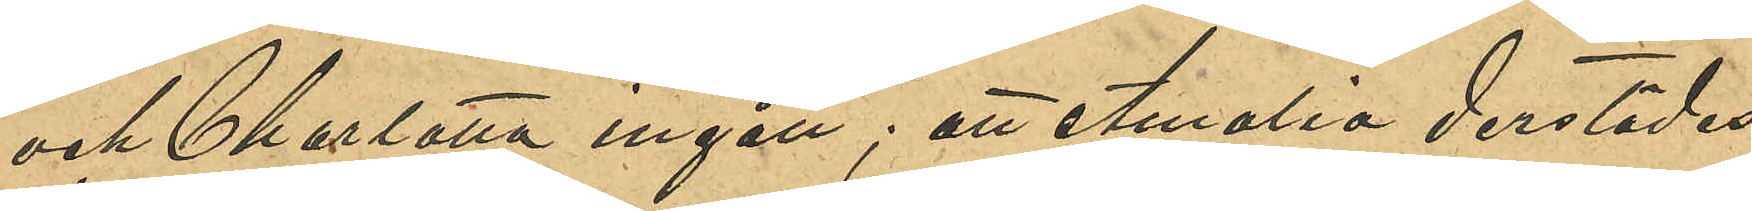och Charlotta ingått; att Amalia derstädes
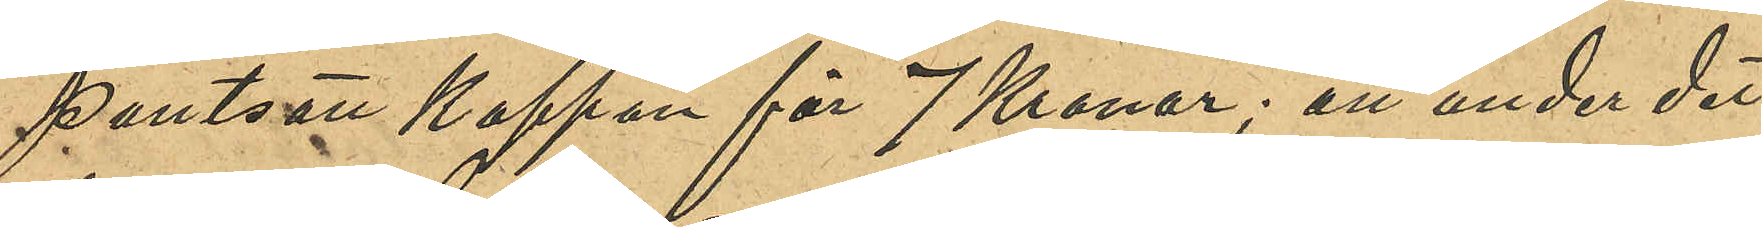pantsatt kappan för 7 kronor; att under det
